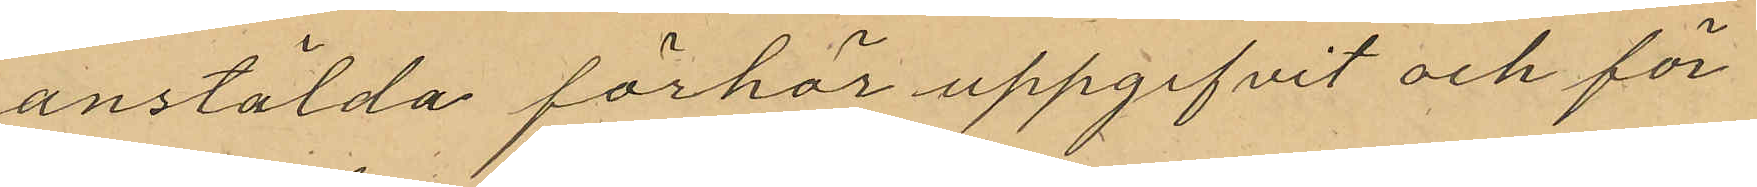anstälda förhör uppgifvit och för¬
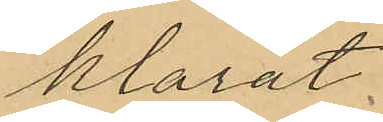klarat:
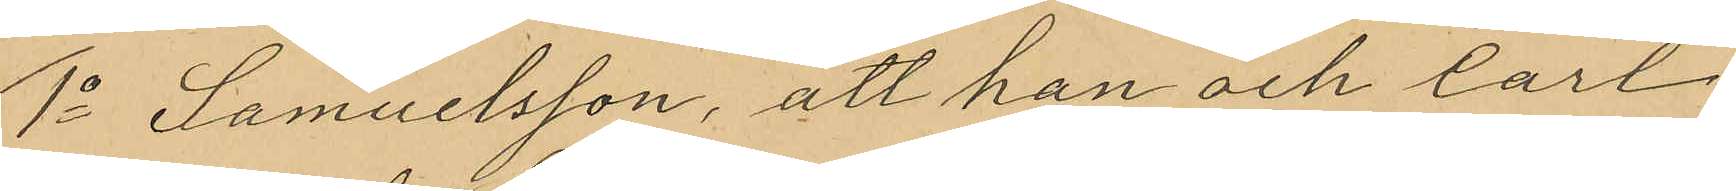1o Samuelsson, att han och Carl
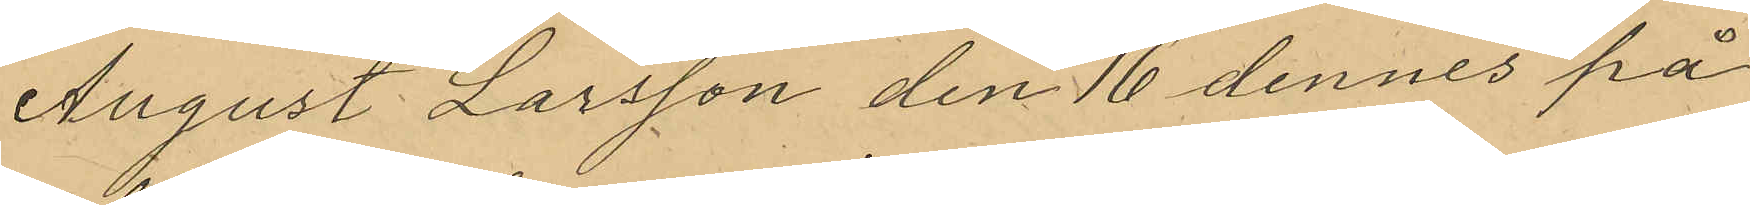August Larsson den 16 dennes på
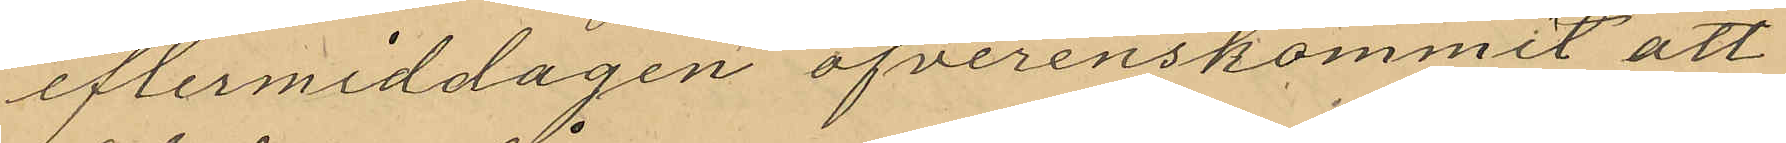eftermiddagen öfverenskommit att
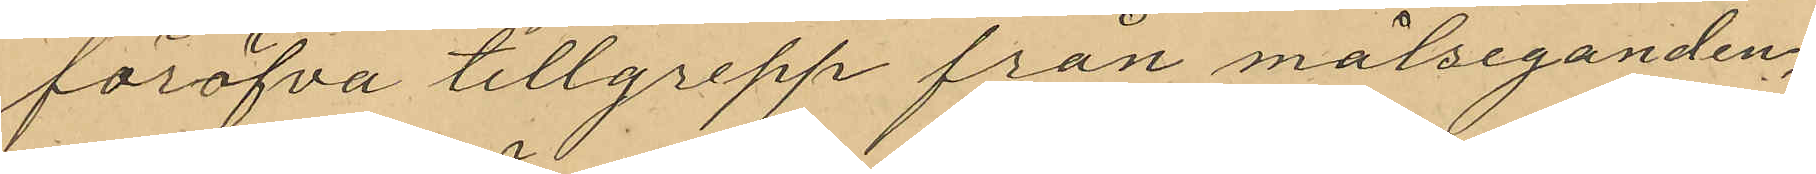föröfva tillgrepp från målseganden;
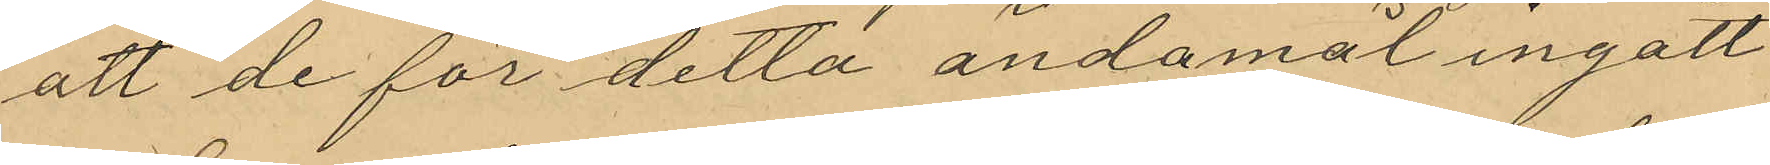att de för detta ändamål ingått
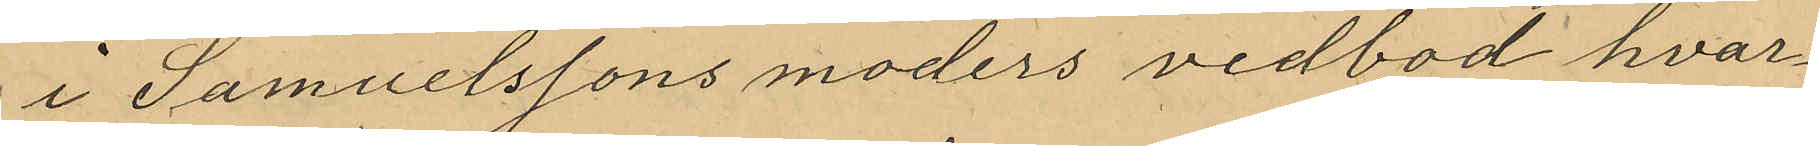i Samuelssons moders vedbod hvar¬
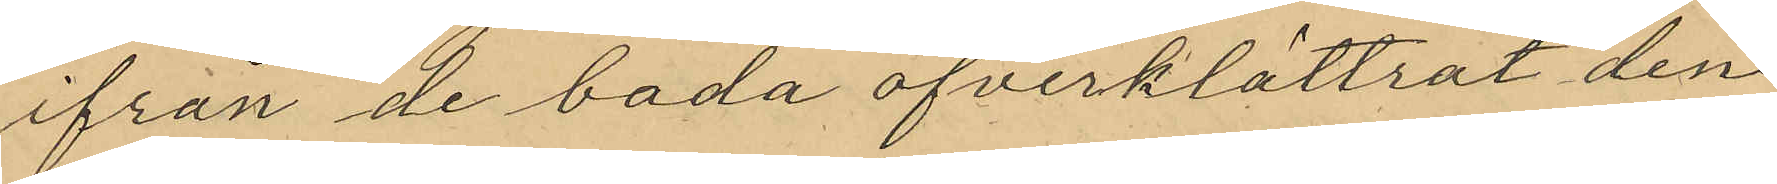ifrån de båda öfverklättrat den
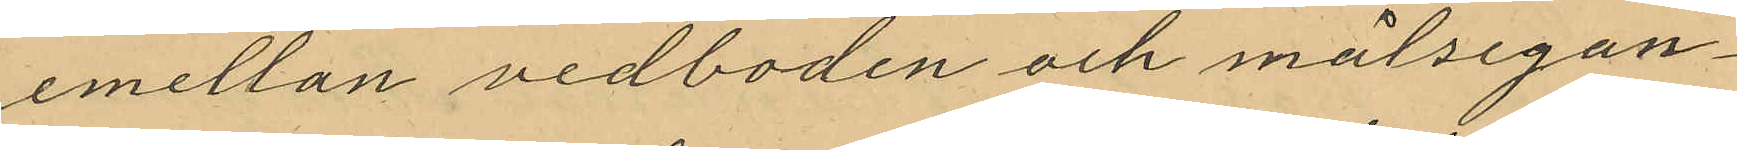emellan vedboden och målsegan¬
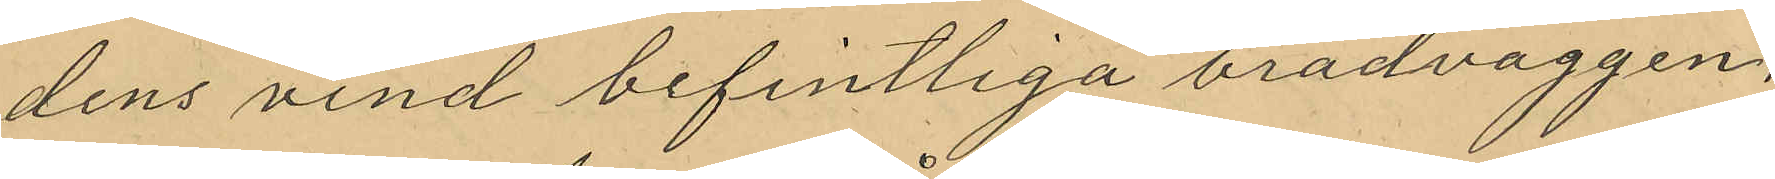dens vind befintliga brädväggen,
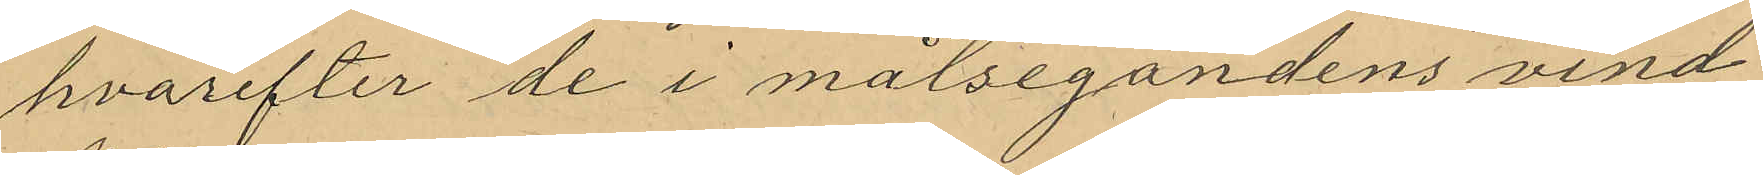hvarefter de i målsegandens vind
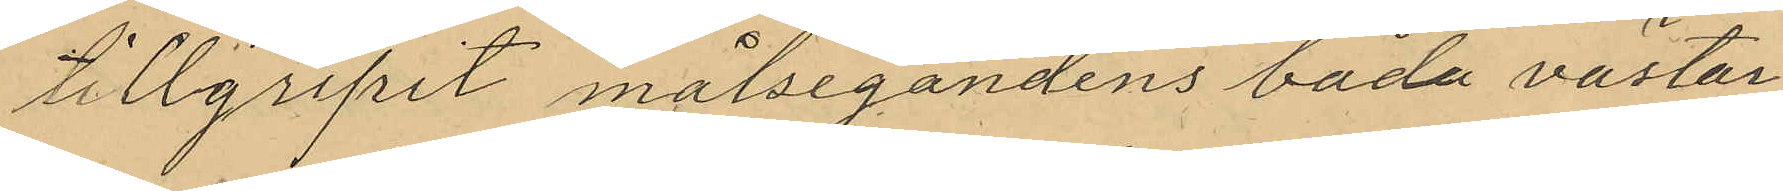tillgripit målsegandens båda västar
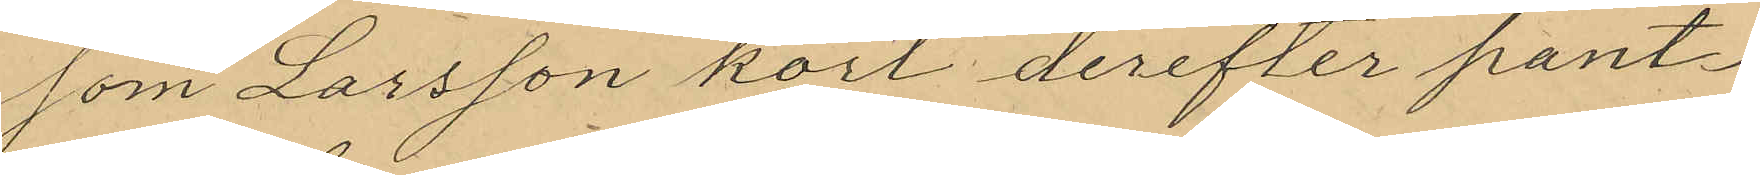som Larsson kort derefter pant¬
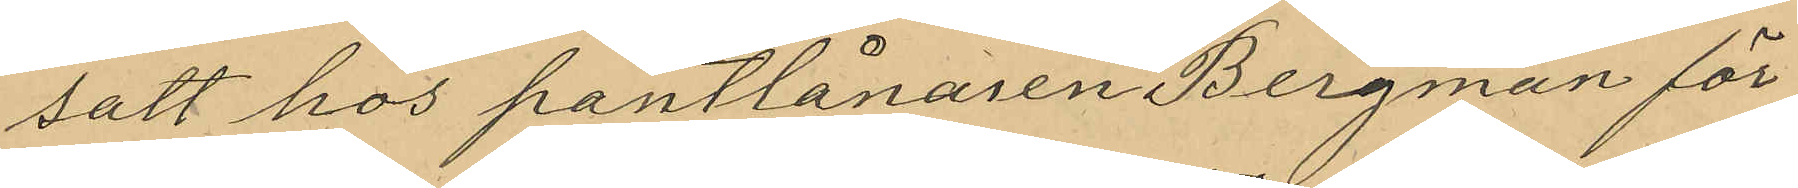satt hos pantlånaren Bergman för
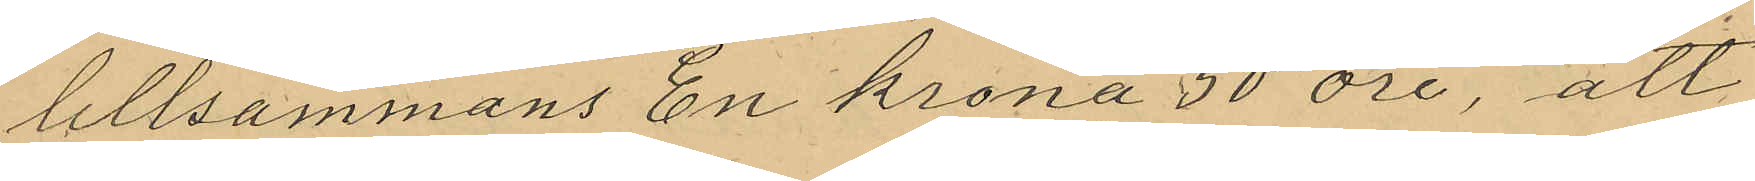tillsammans En krona 50 öre, att
